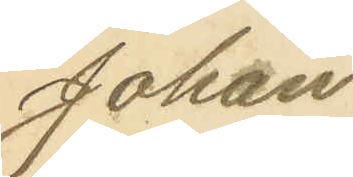Johan
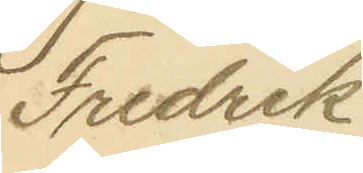Fredrik
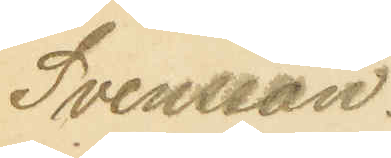Svensson.
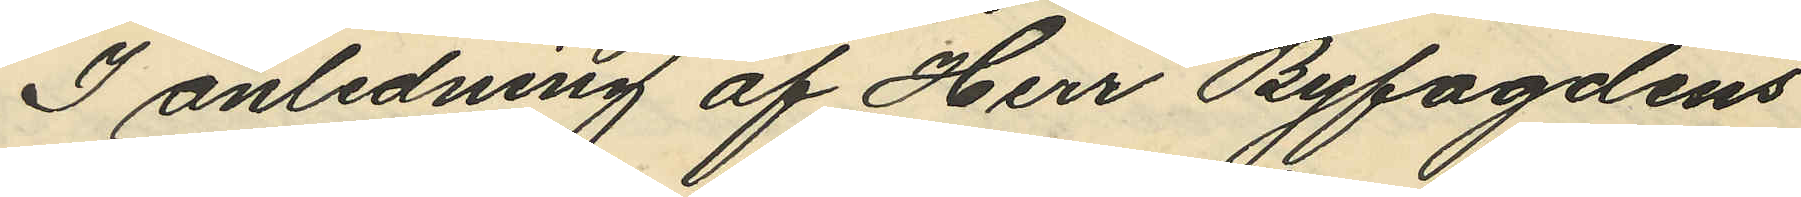I anledning af Herr Byfogdens
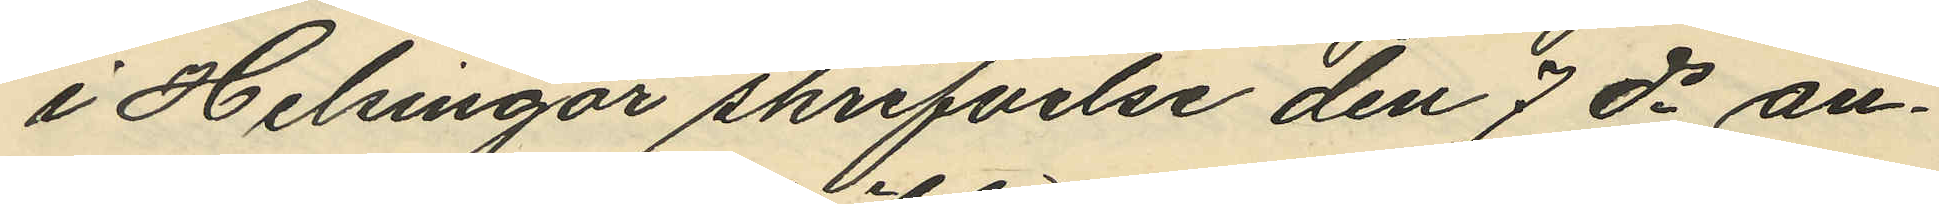i Helsingör skrifvelse den 7 ds an¬
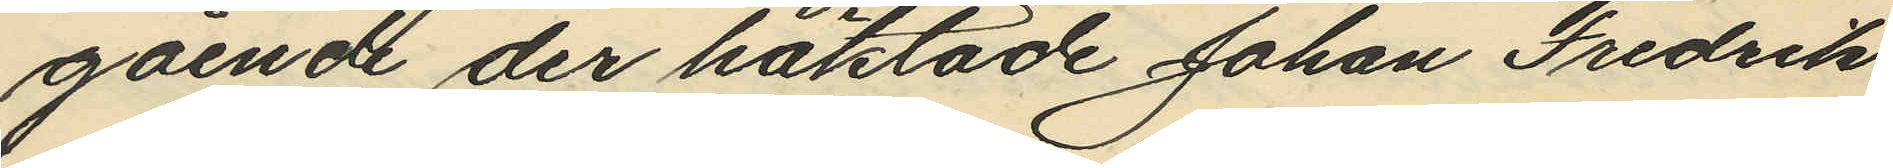gående der häktade Johan Fredrik
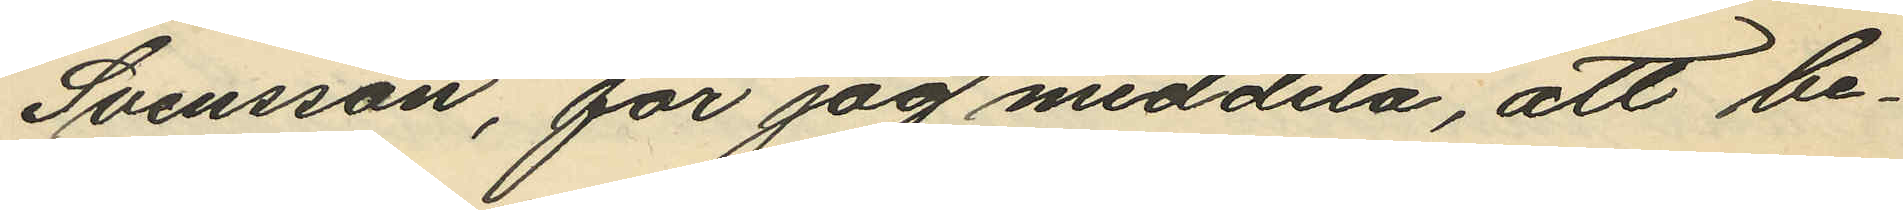Svensson, får jag meddela, att be¬
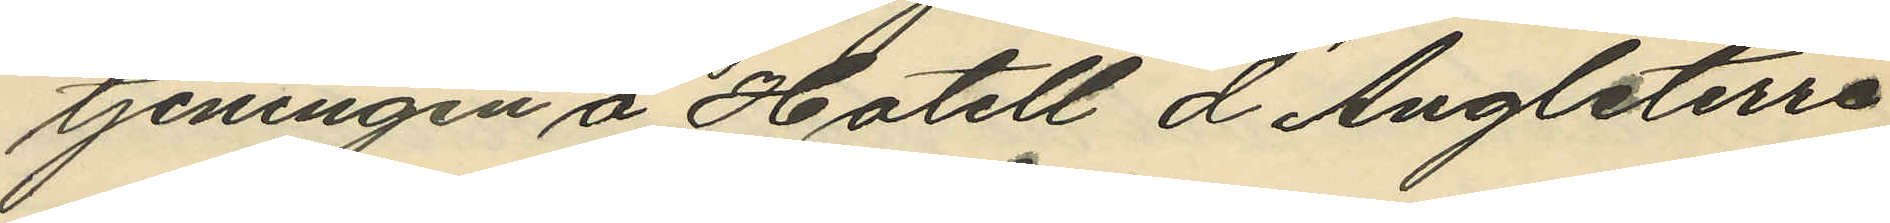tjeningen å Hotell d´Angleterre
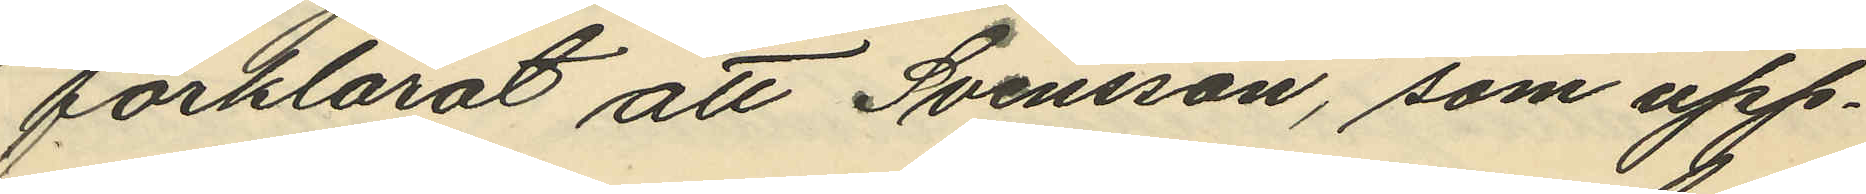förklarat att Svensson, som upp¬
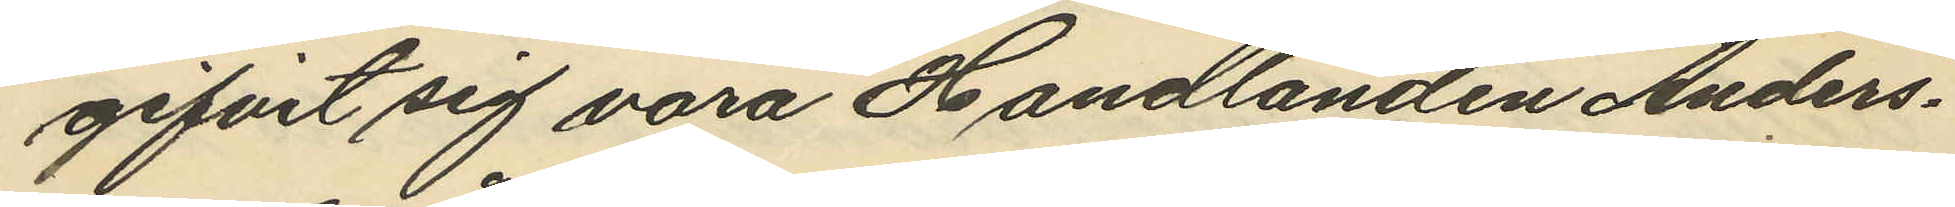gifvit sig vara Handlanden Anders¬
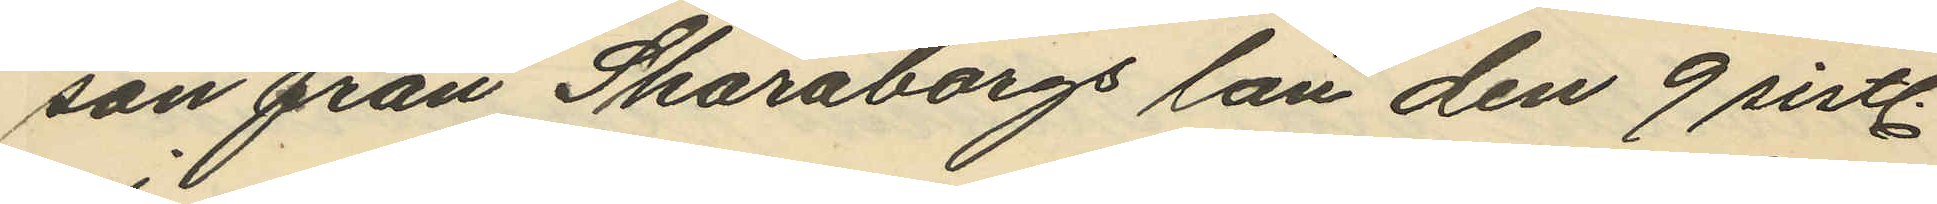son från Skaraborgs län den 9 sistl.
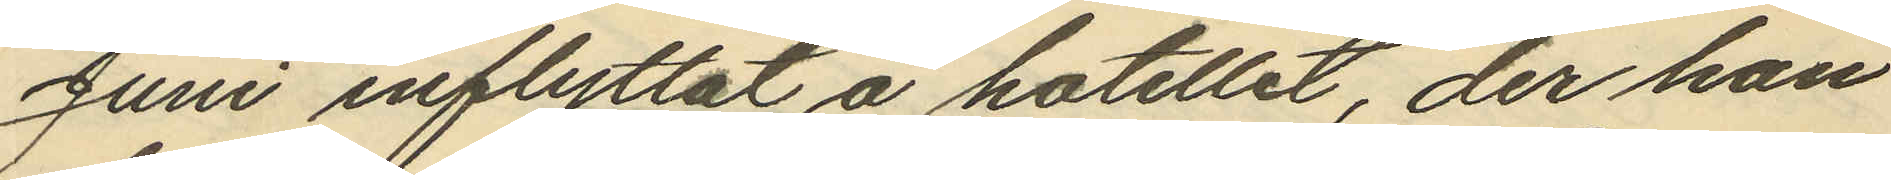Juni inflyttat å hotellet, der han
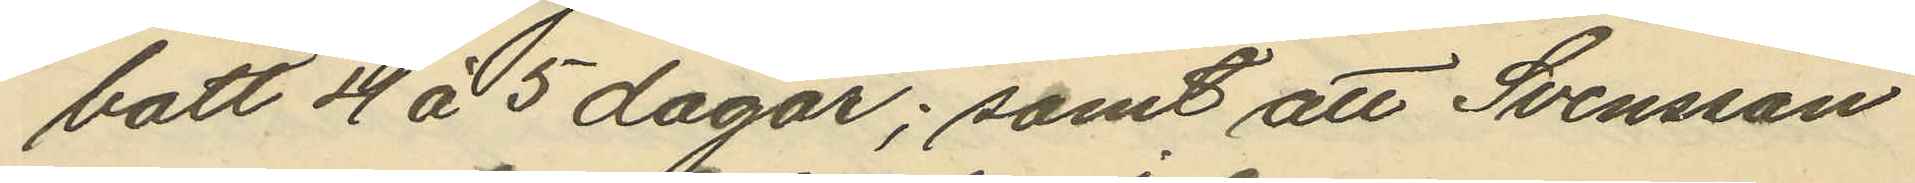bott 4 á 5 dagar; samt att Svensson
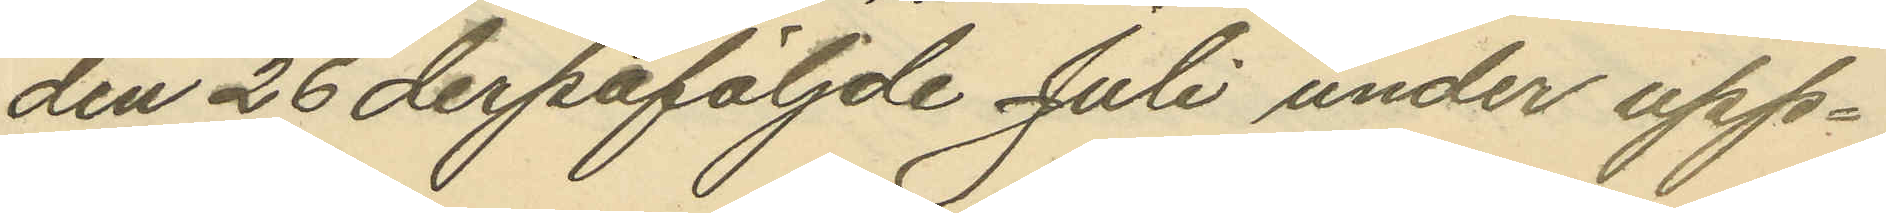den 26 derpåföljde Juli under upp¬
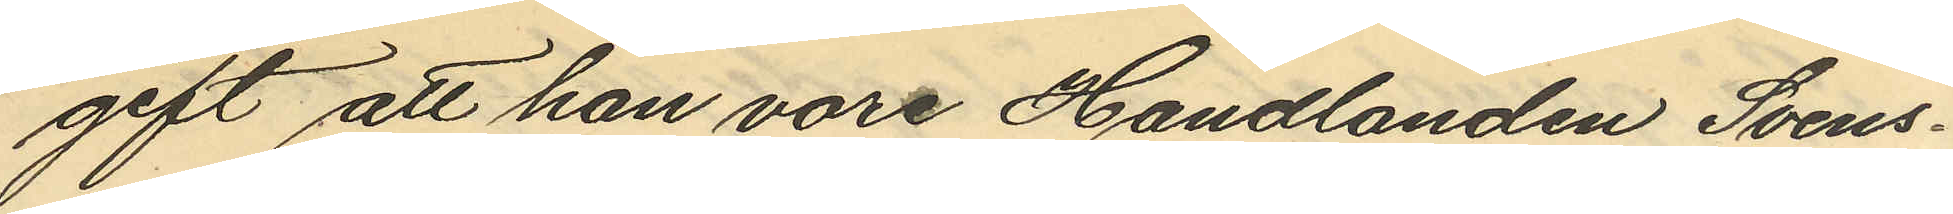gift att han vore Handlanden Svens¬
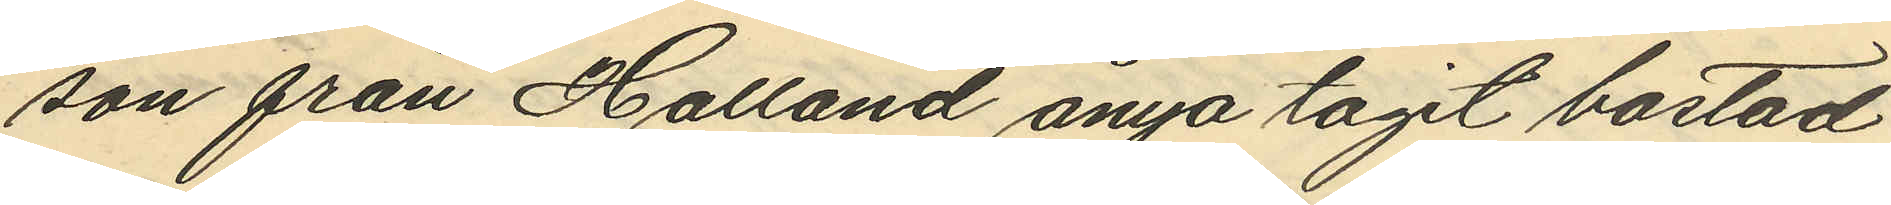son från Halland ånyo tagit bostad
